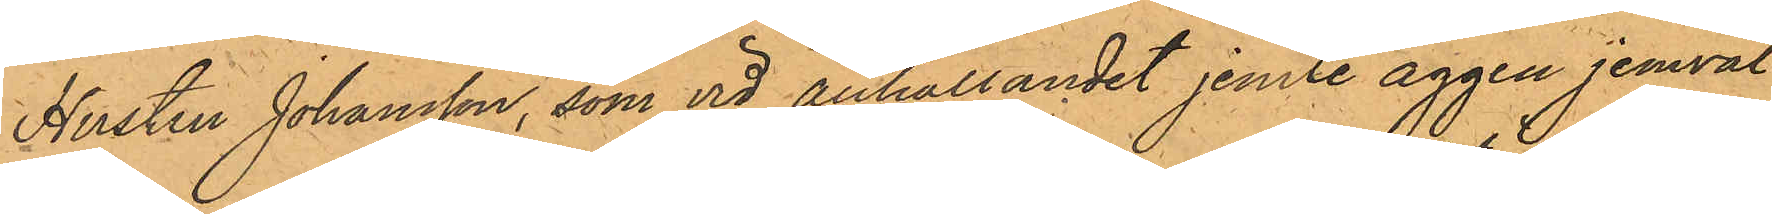Hustru Johansson, som vid anhållandet jemte äggen jemväl
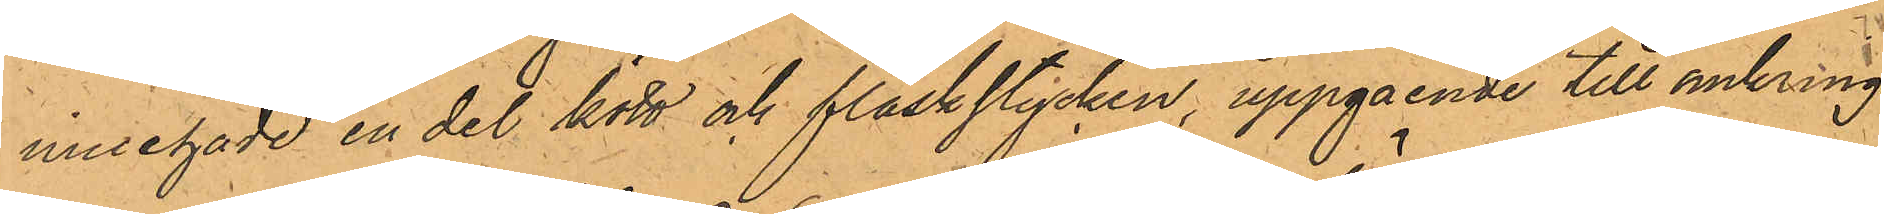innnehade en del kött och fläskstycken, uppgående till omkring
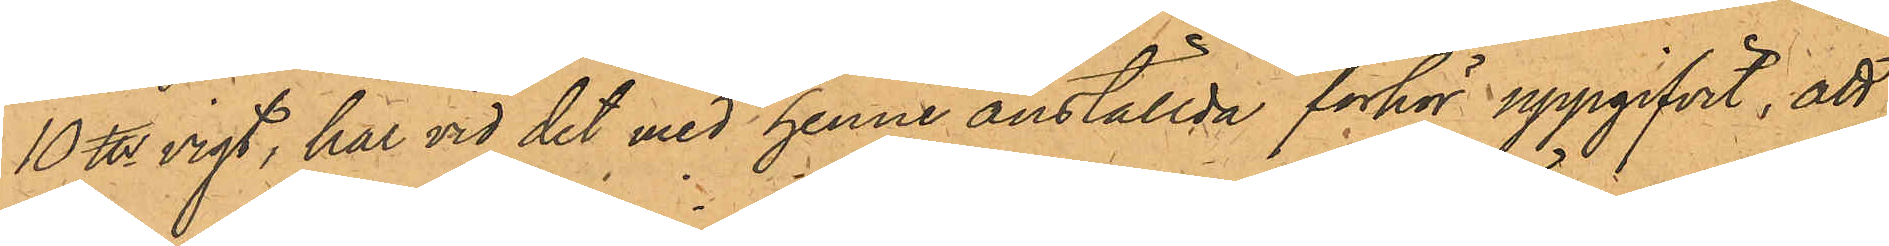10 ℔ vigt, har vid det med henne anställda förhör uppgifvit, att
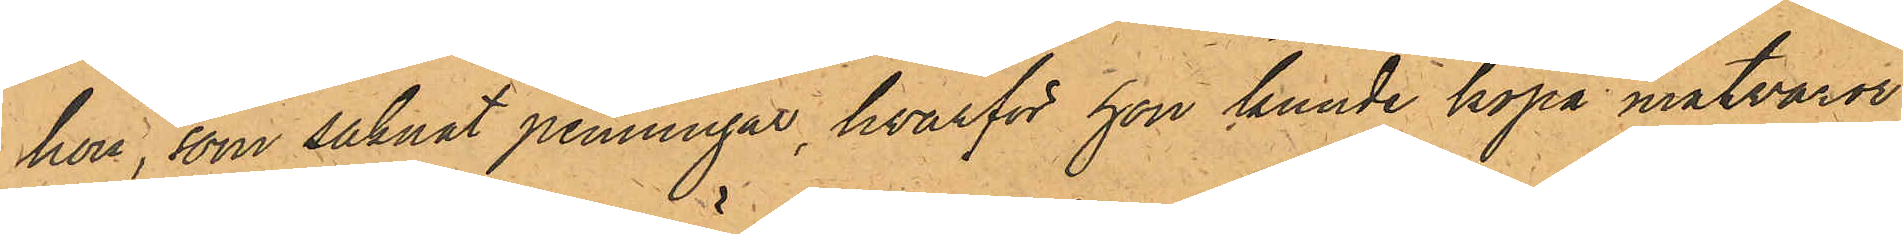hon, som saknat penningar, hvarför hon kunde köpa matvaror,
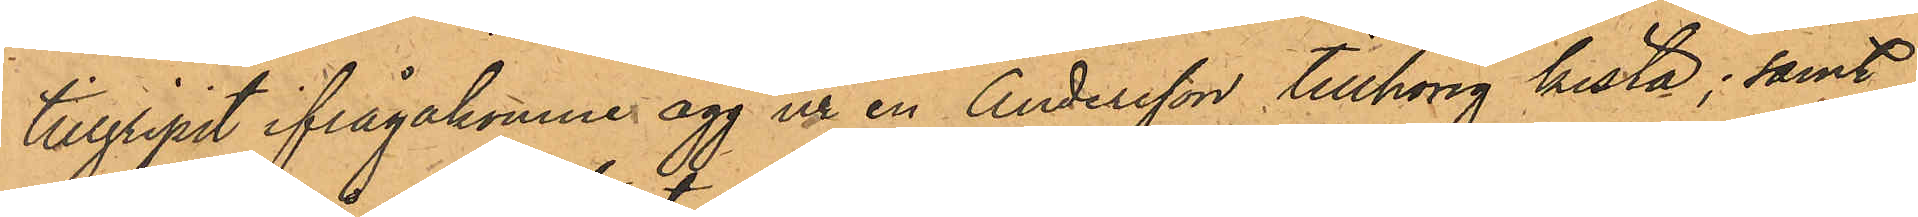tillgripit ifrågakomne ägg ur en Andersson tillhörig kista; samt
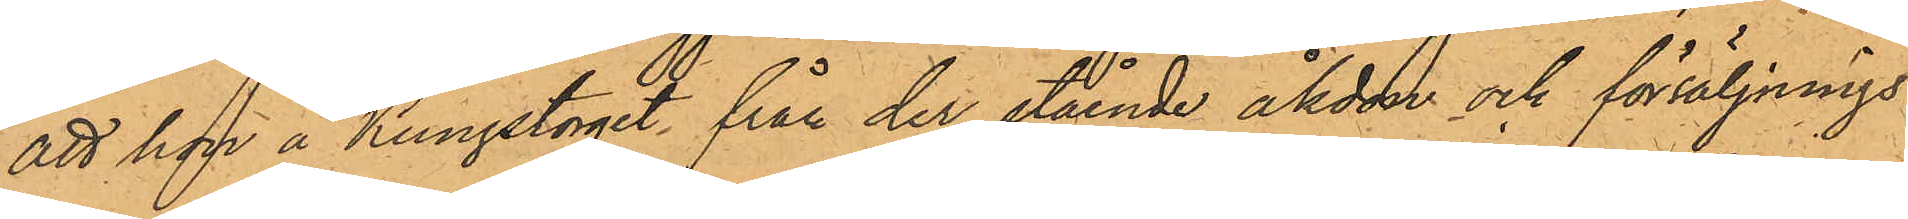att han å Kungstorget från der stående åkdon och försäljnings¬
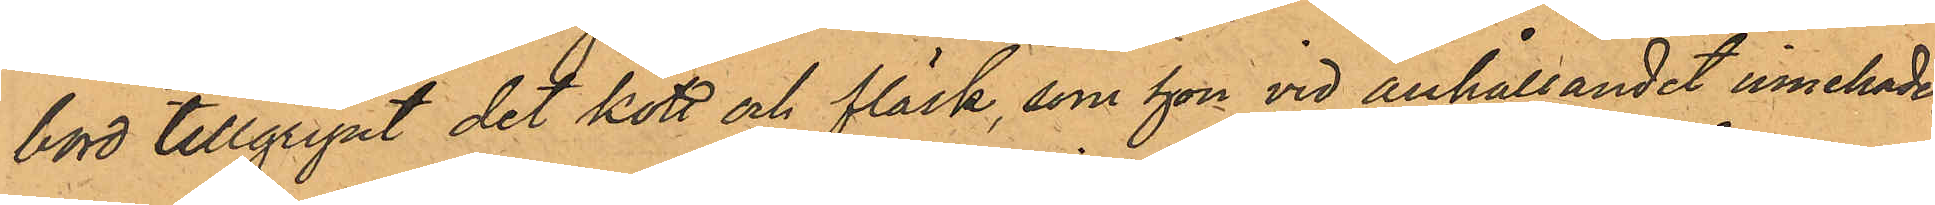bord tillgripit det kött och fläsk, som hon vid anhållandet innehade.
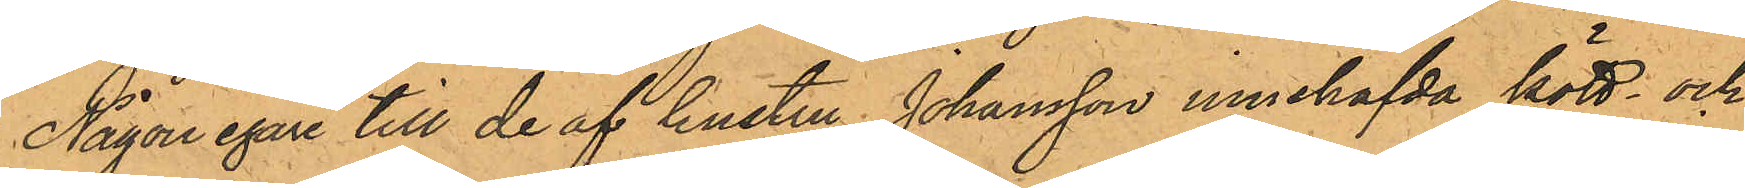Någon egare till de af hustru Johansson innehafda kött- och
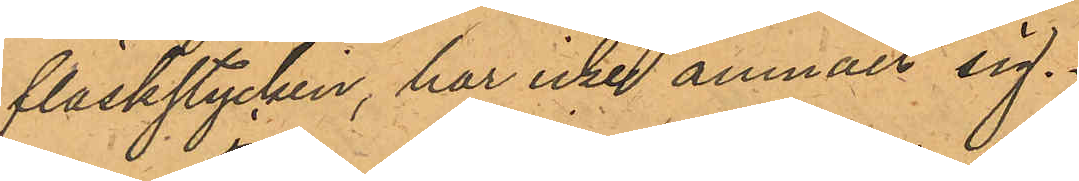fläskstycken, har icke anmält sig.
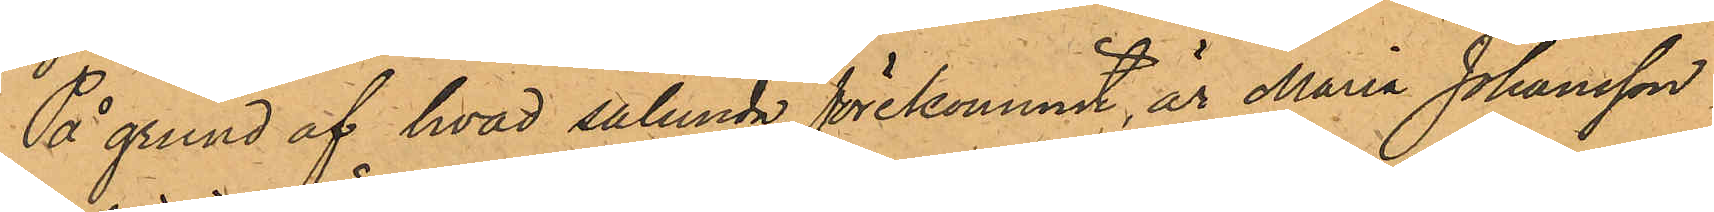På grund af hvad sålunda förekommit, är Maria Johansson
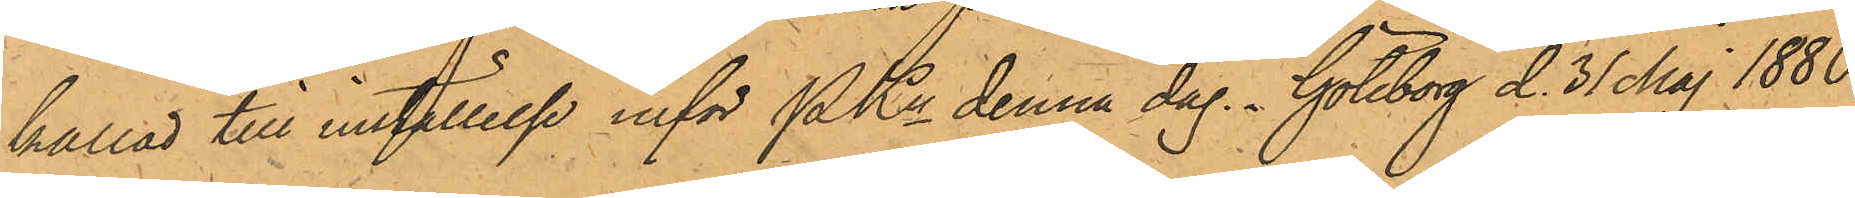kallad till inställelse inför PKn denna dag. Göteborg d. 31 Maj 1880.
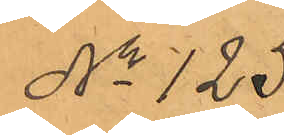No 125.
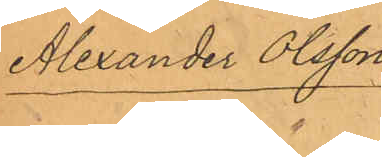Alexander Olsson.
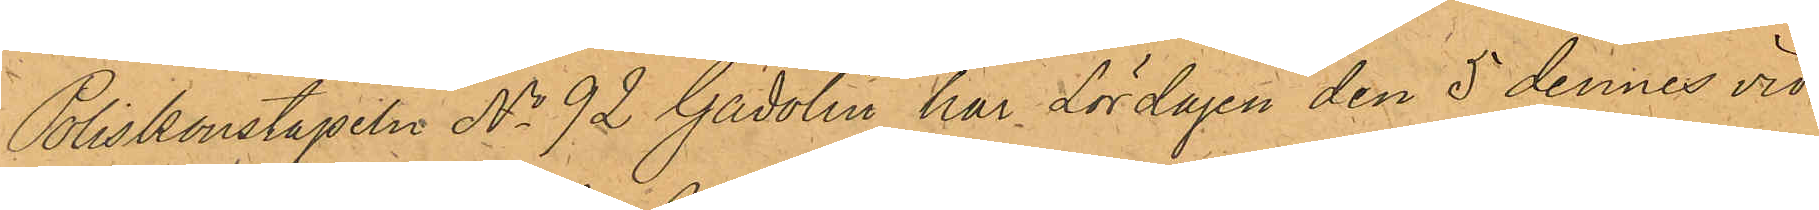Poliskonstapeln No 92 Gadolin har Lördagen den 5 dennes vid
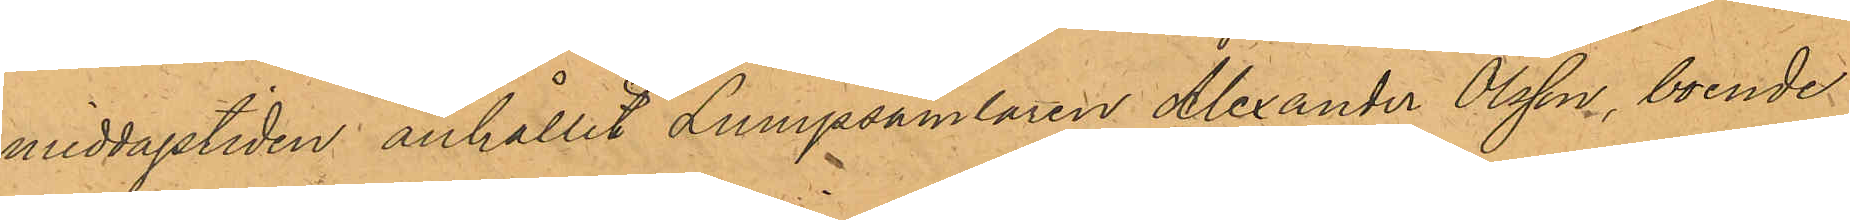middagstiden anhållit Lumpsamlaren Alexander Olsson, boende
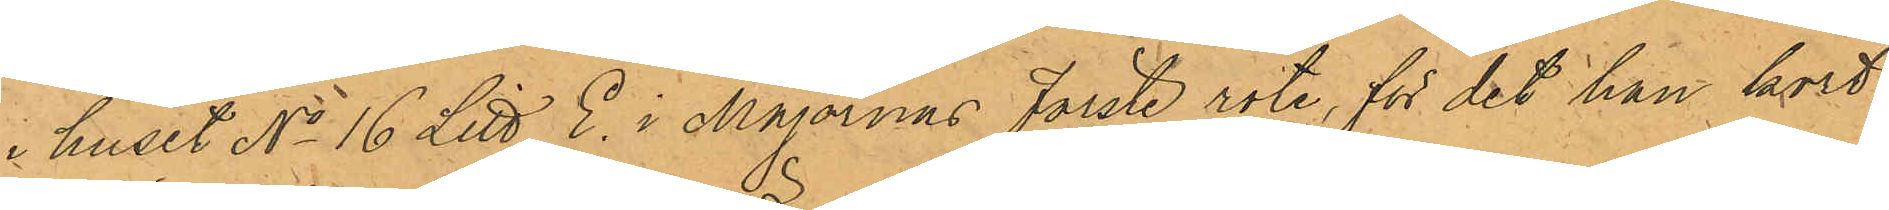i huset No 16 Litt E. i Majornas Förste rote, för det han kort
